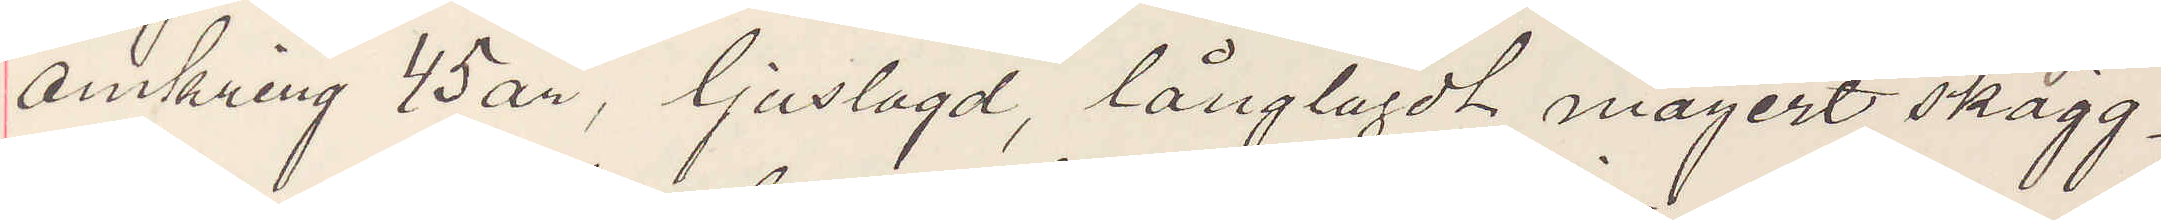omkring 45 år, ljuslagd, långlagdt magert skägg¬
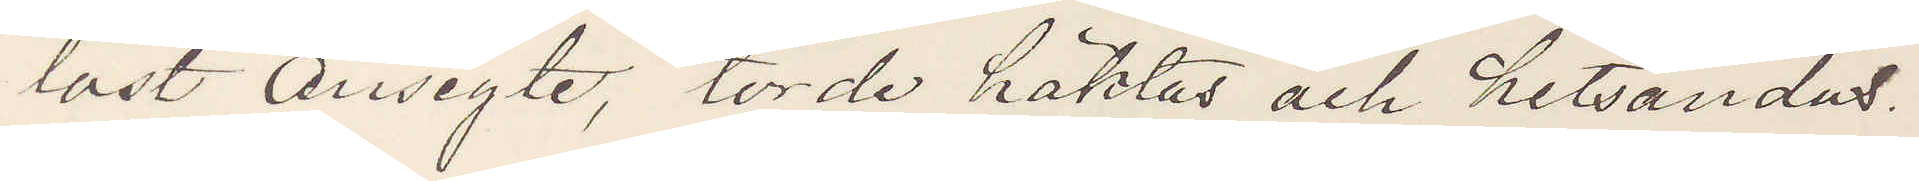löst ansigte, torde häktas och hitsändas.
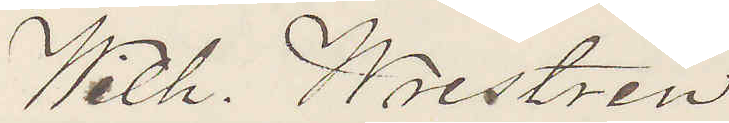Wilh. Westrin
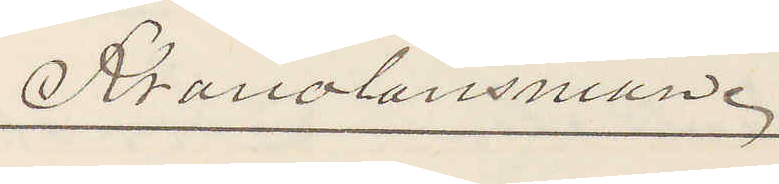Kronolänsman.
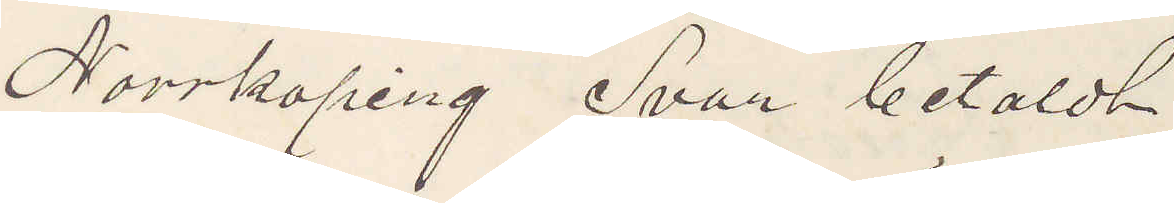Norrköping Svar betaldt
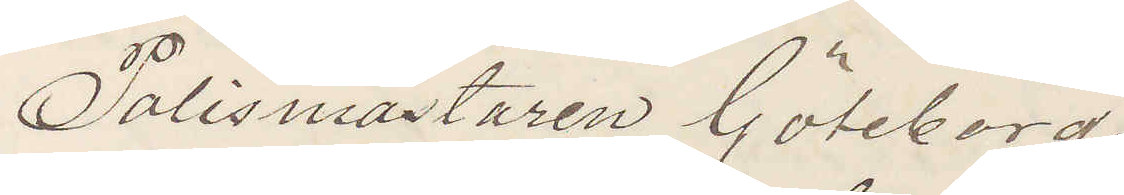Polismästaren Göteborg.
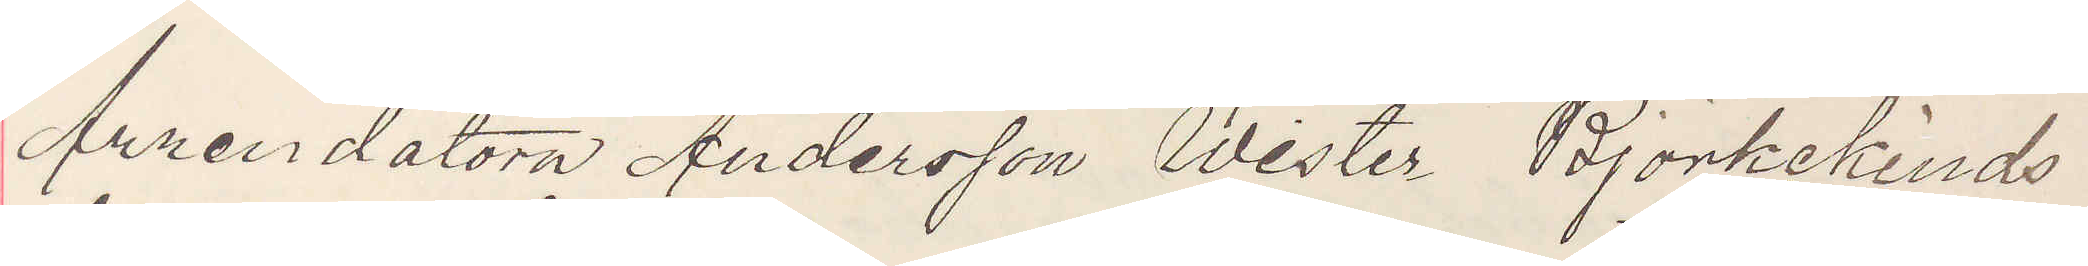Arrendatorn Andersson Wester Björkekinds
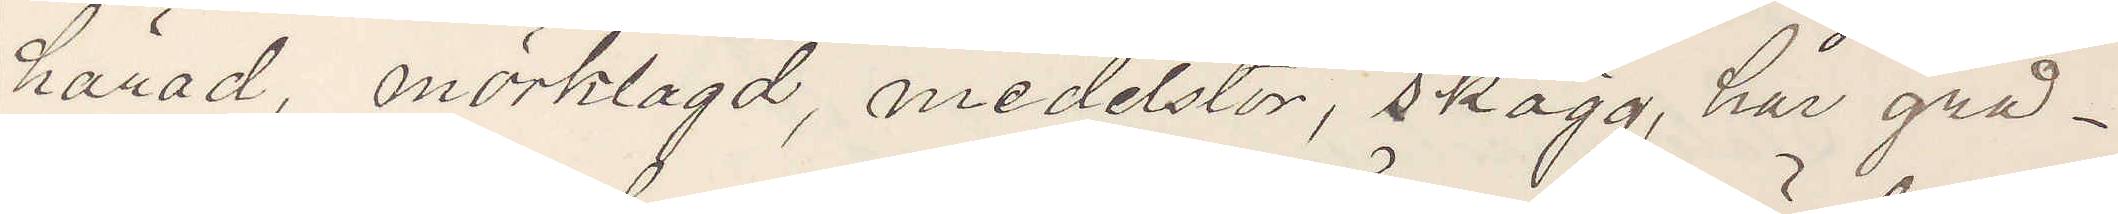härad, mörklagd, medelstor, skägg, hår grå¬
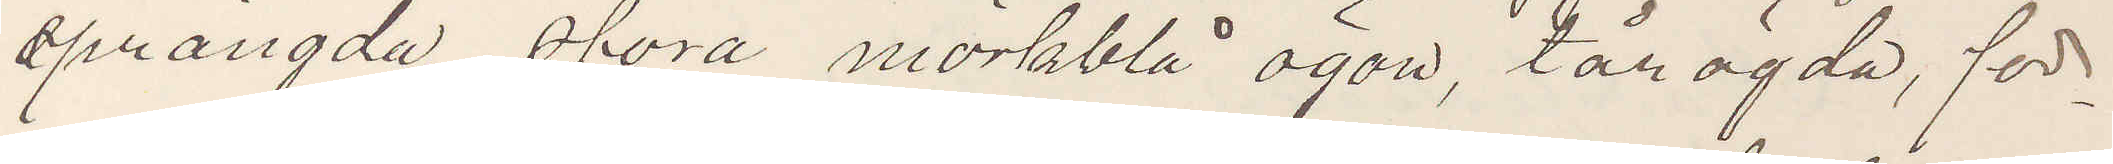sprängda, stora mörkblå ögon, tårögda, för¬
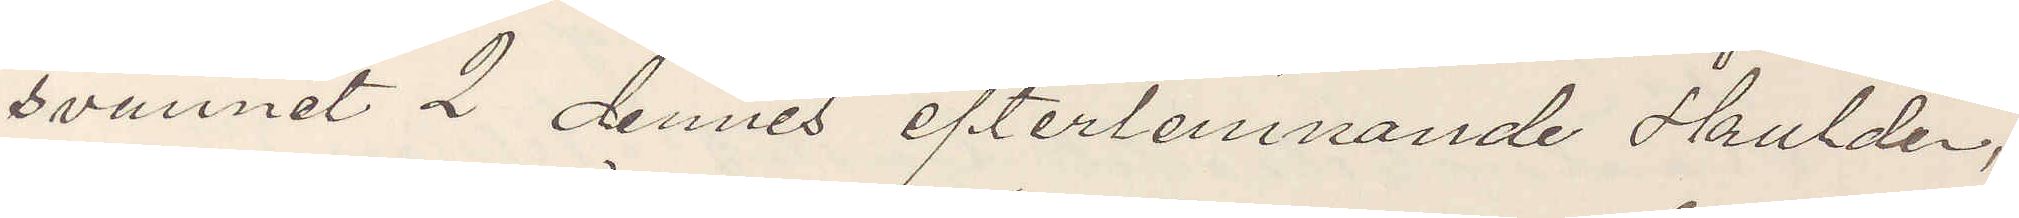svunnit 2 dennes efterlemnande skulder,
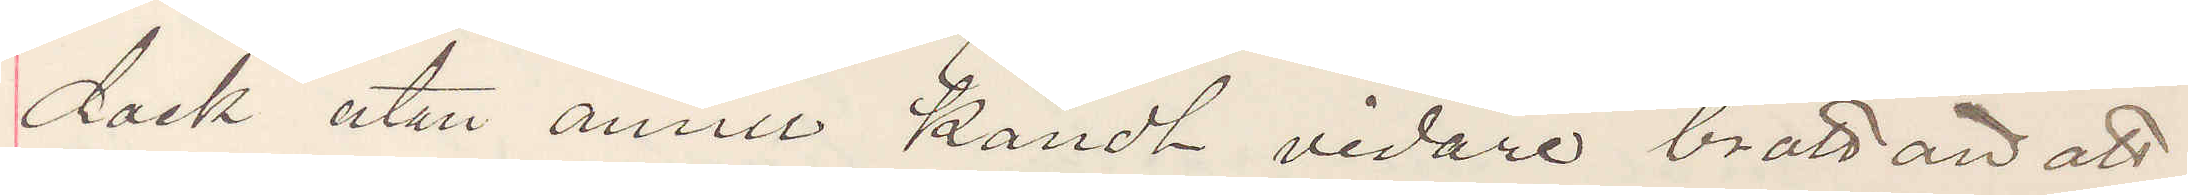dock utan ännu kändt vidare brott än att
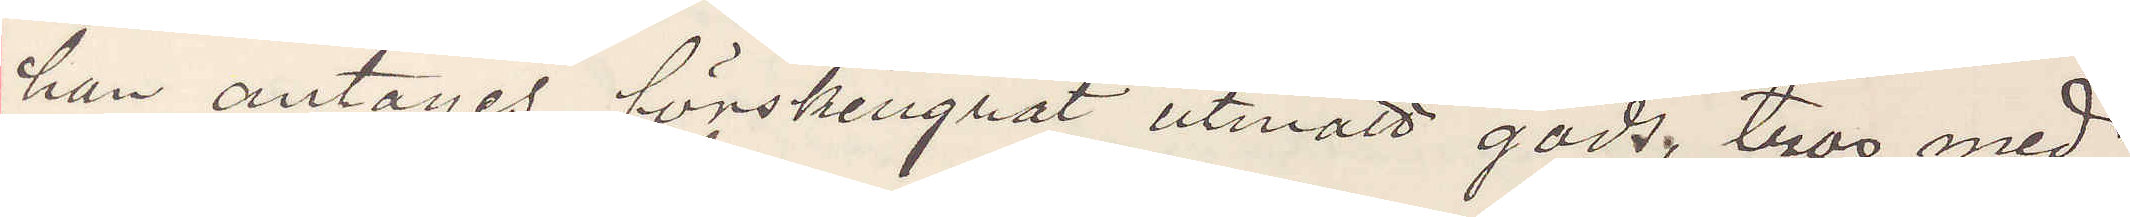han antages förskingrat utmätt gods, tros med¬
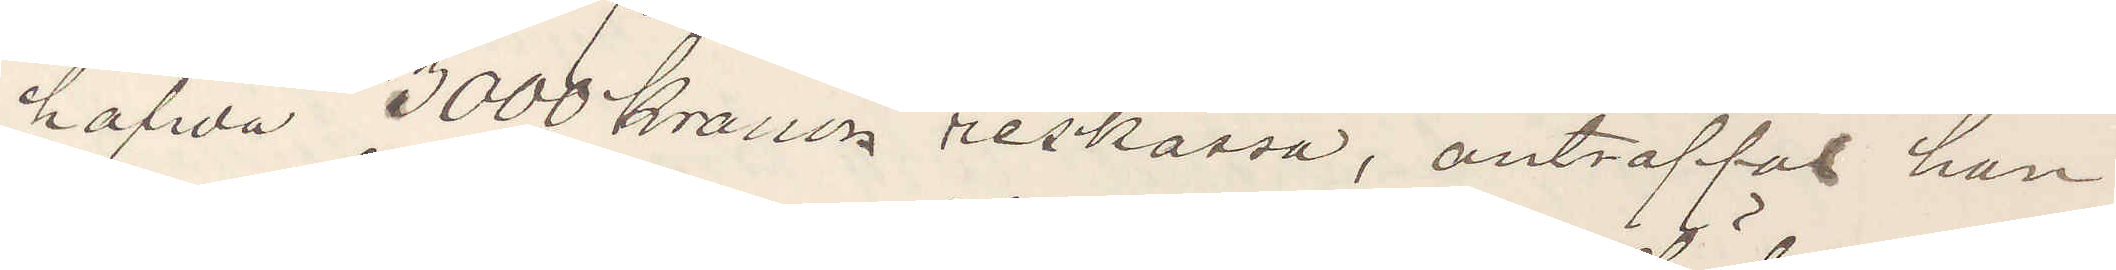hafwa 3000 kronor reskassa, anträffas han
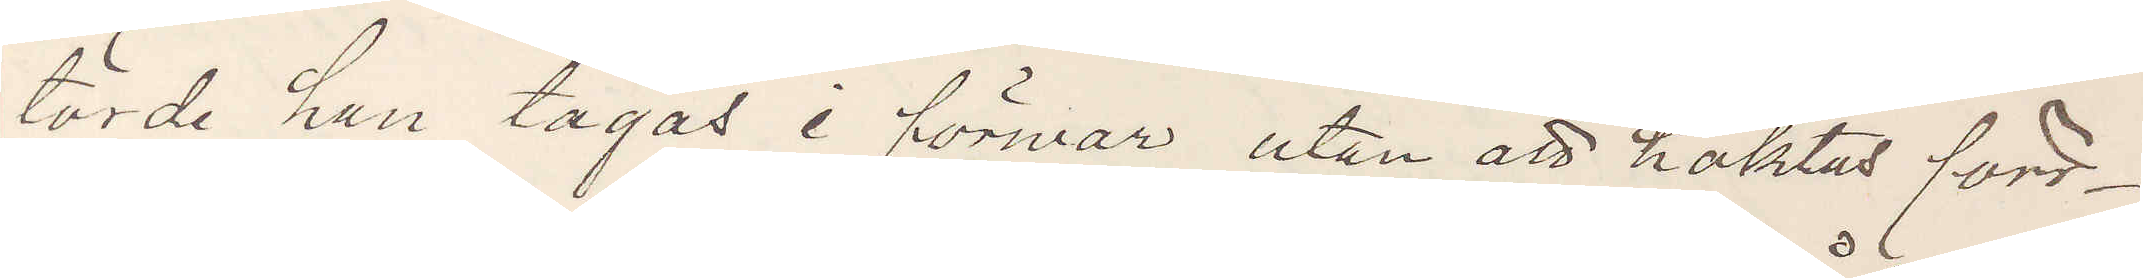torde han tagas i förwar, utan att häktas förr¬
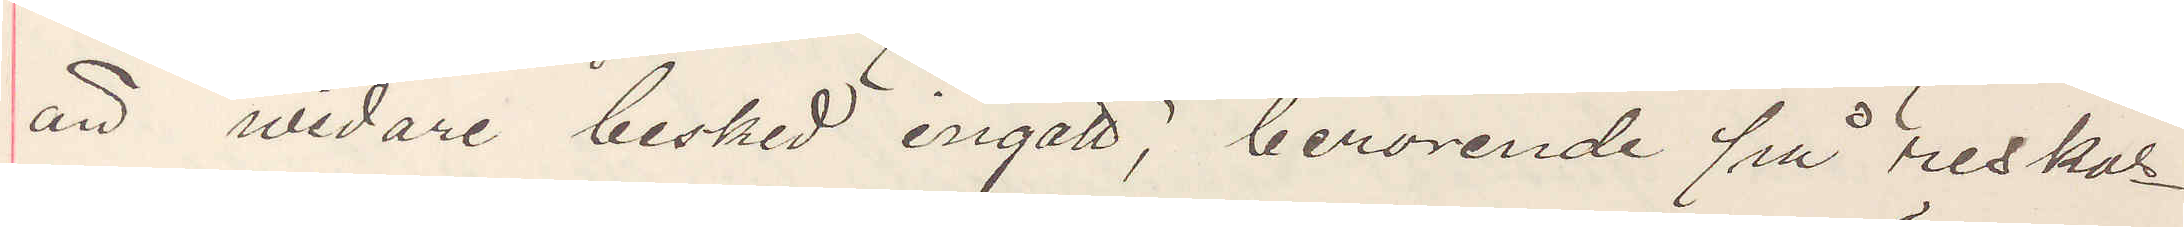än widare besked ingått, beroende på reskas¬
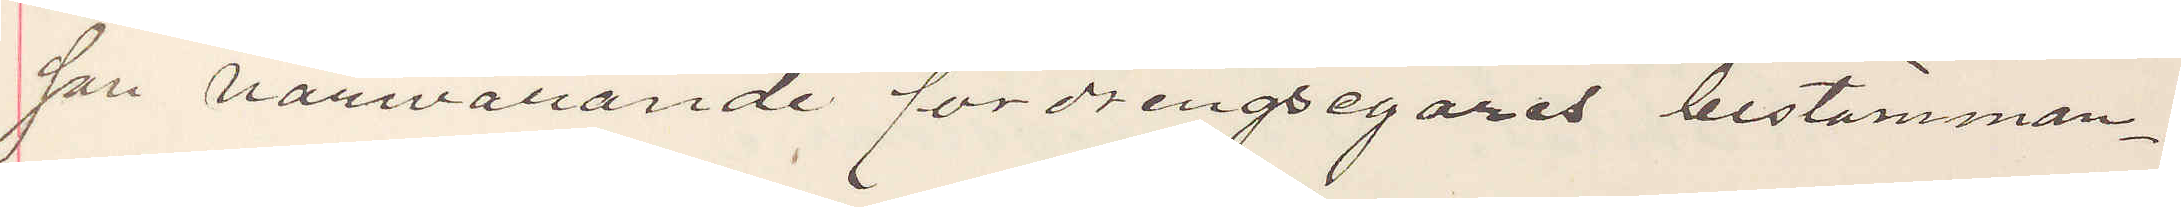san härvarande fordringsegares bestämman¬
